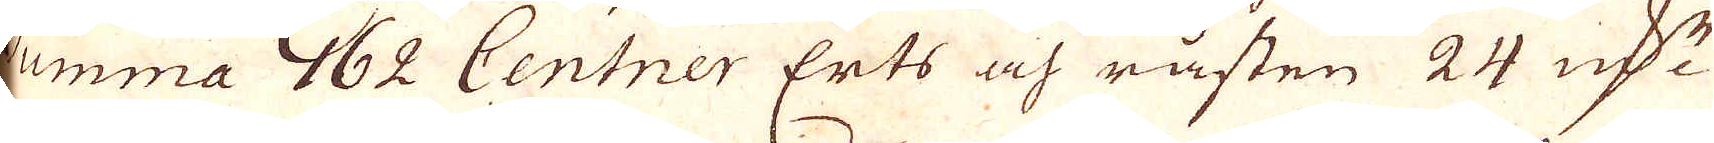Summa 162 Centner Erts och råsten 24 qv:r
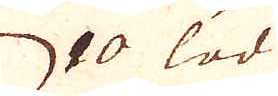10 lod
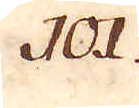101.
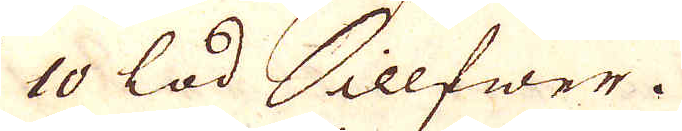10 lod Sillfwer.
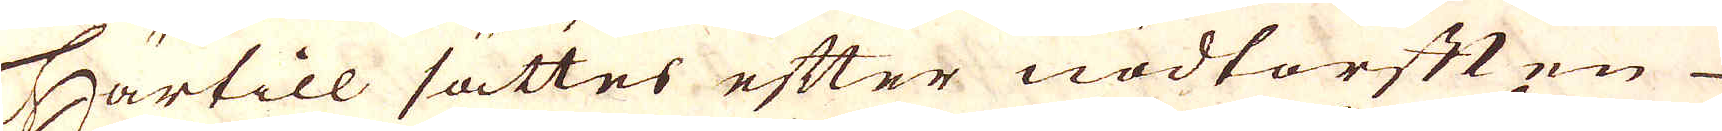Härtill sättes efter nödtorten
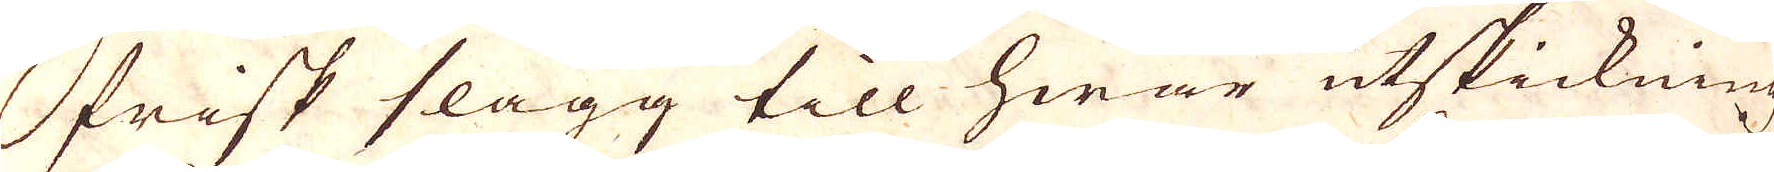frisk slagg till hwar utskickning
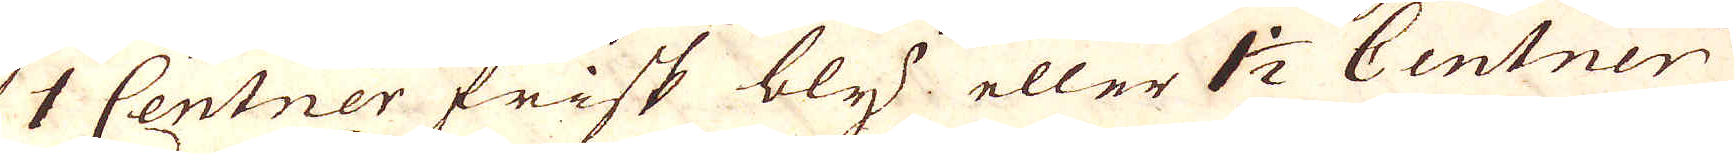1 Centner frisk bly eller 1 1/2 Centner
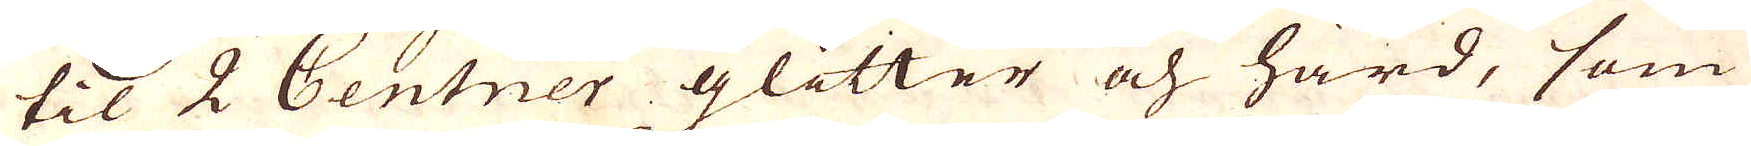til 2 Centner glitter och hård, som
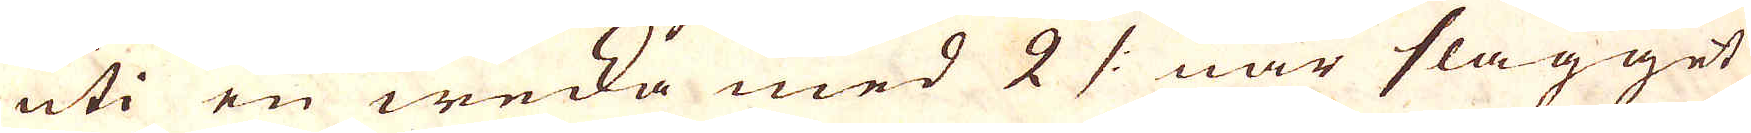uti en wecka med 2 /: när slagget
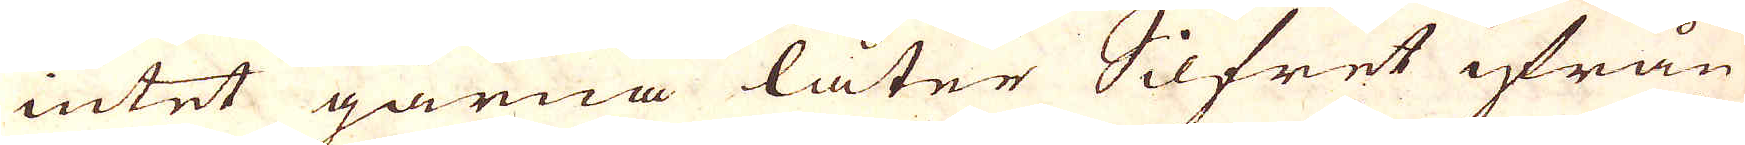intet gärna låter Silfret ifrån
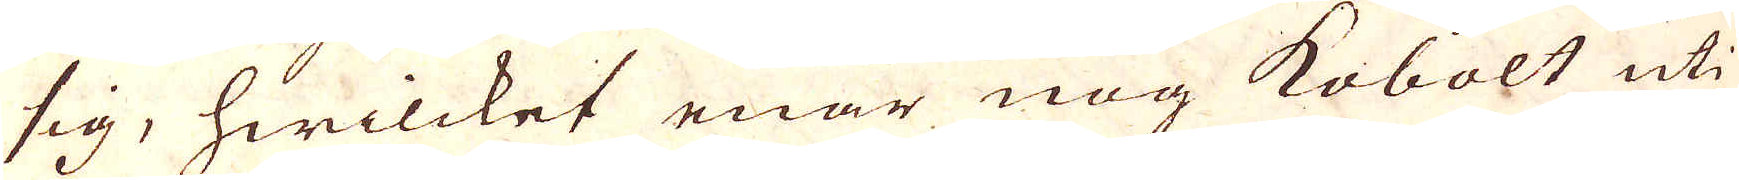sig, hwilcket enär nog kobolt uti
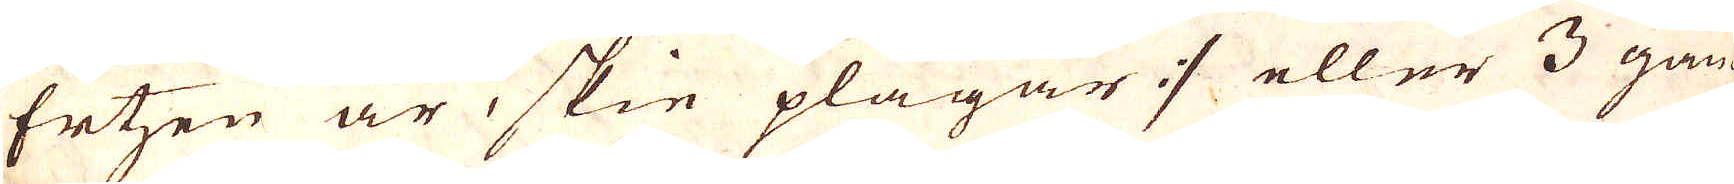Ertzen är skie plägar :/ eller 3 gån-
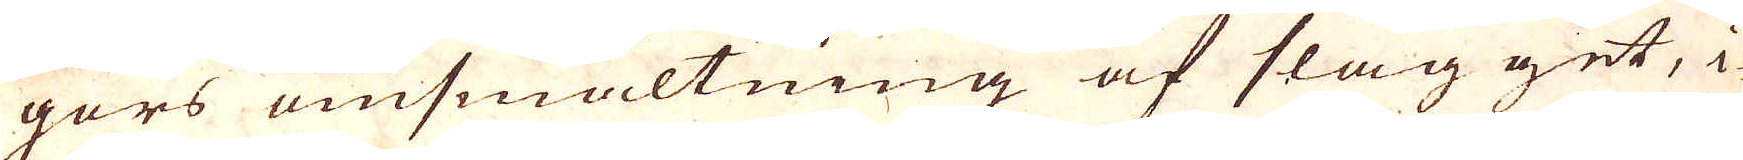gors omsmältning af slagget, i
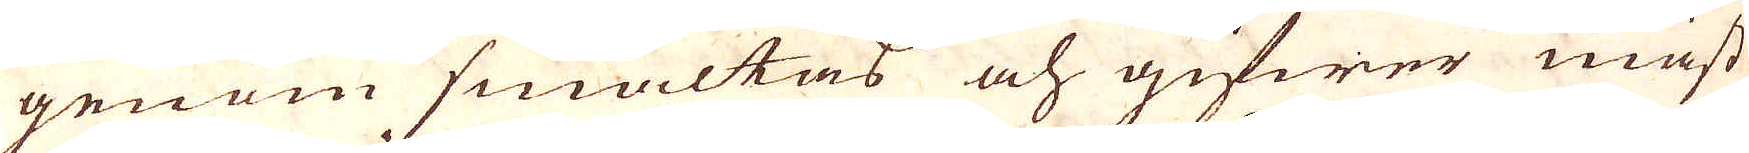genom smältas och gifwer mäst
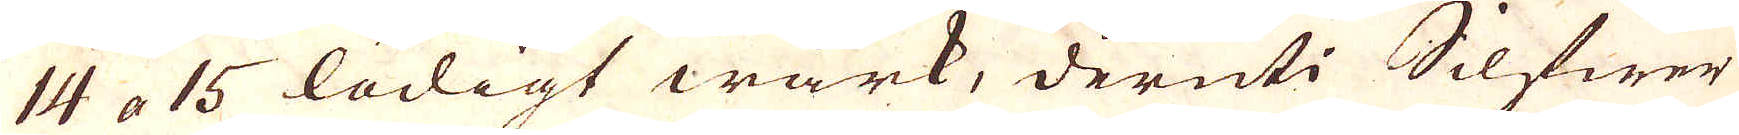14 a 15 lödigt wärk, deruti Silfwer
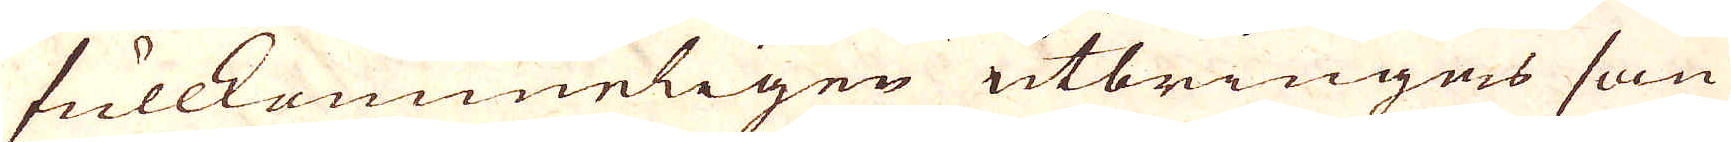fullkommeligen utbringas som
